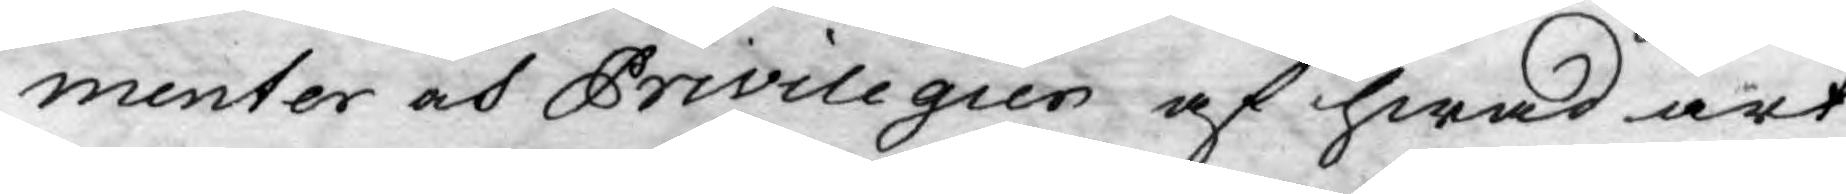menter och Privilegier af hwad art
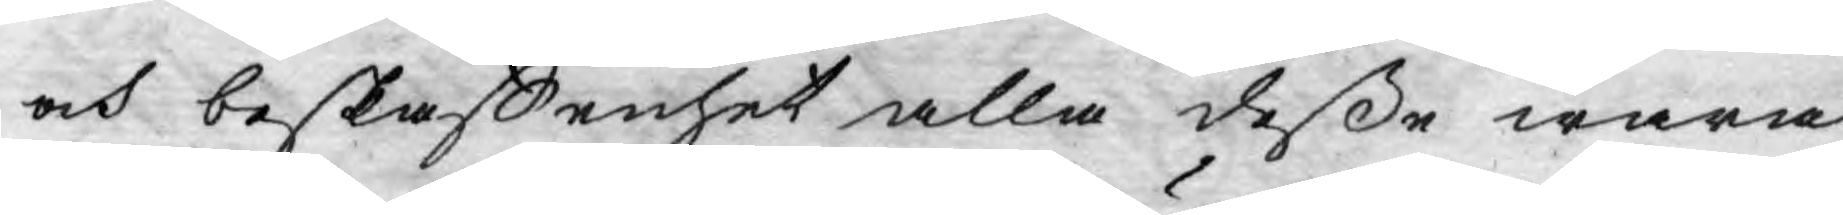och beskaffenhet alla deße wara
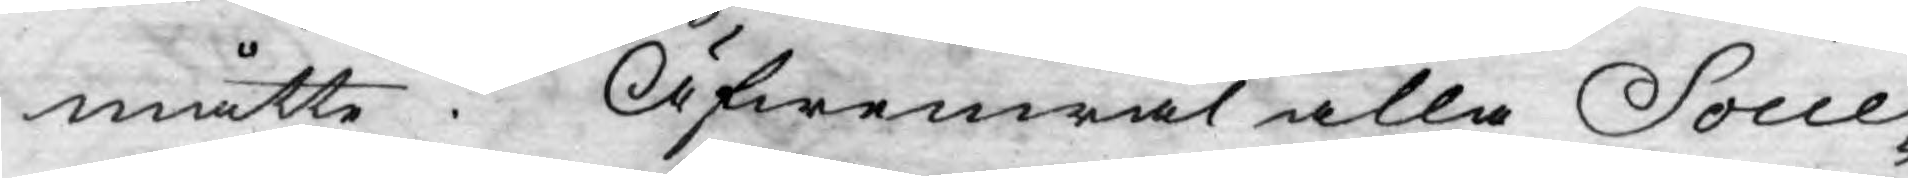måtte. Äfwenwäl alla Socie¬
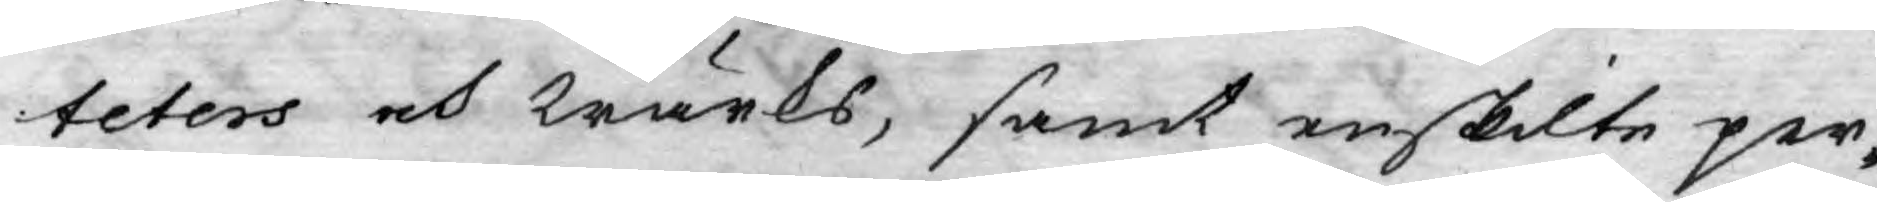teters och wärks, samt enskilte per¬
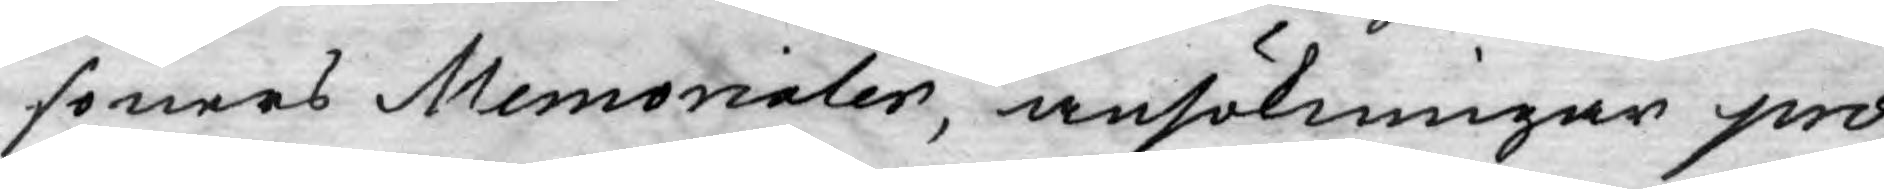soners Memorialer, ansökningar pro¬
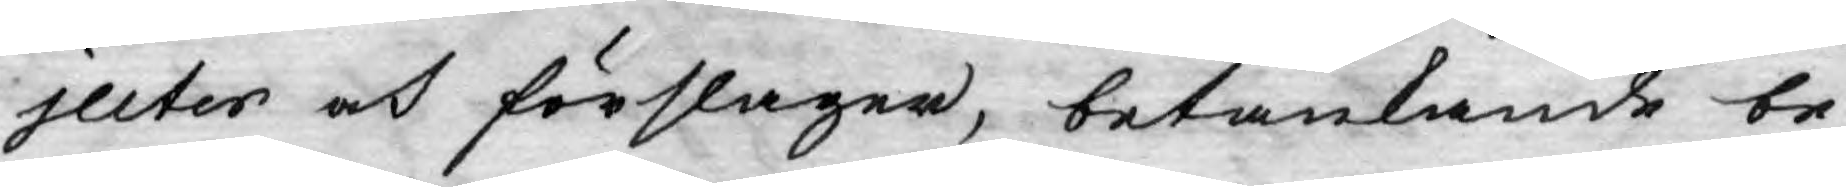jecter och förslager, betänkande be¬
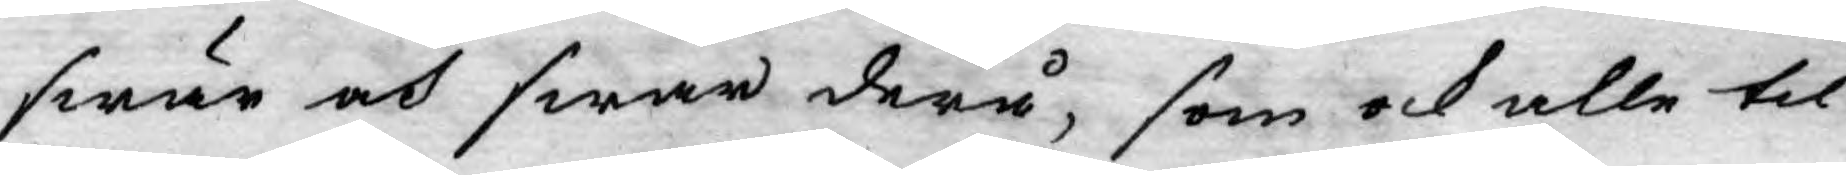swär och swar derå, som ock alle til
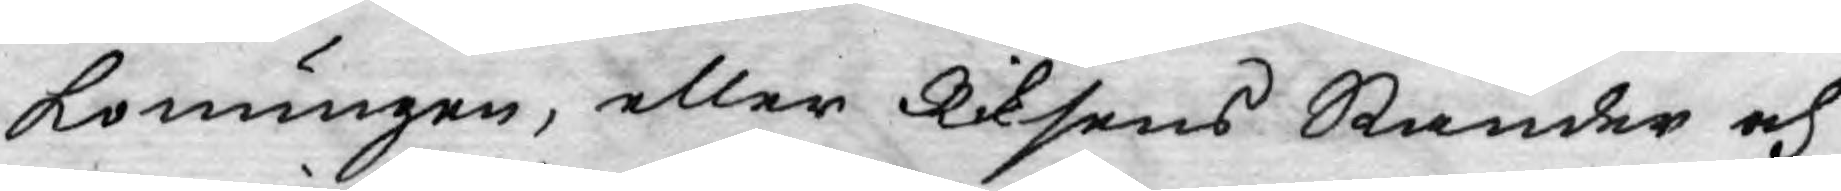Konungen, eller Riksens Ständer och
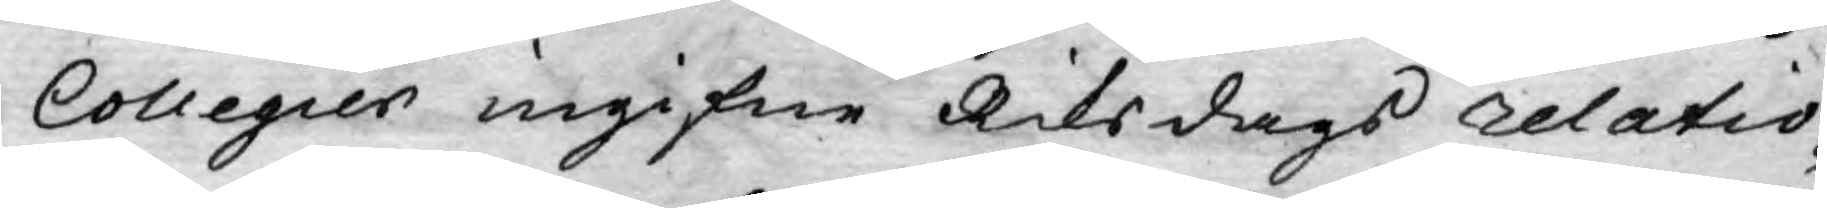Collegier ingifne Riksdags relatio¬
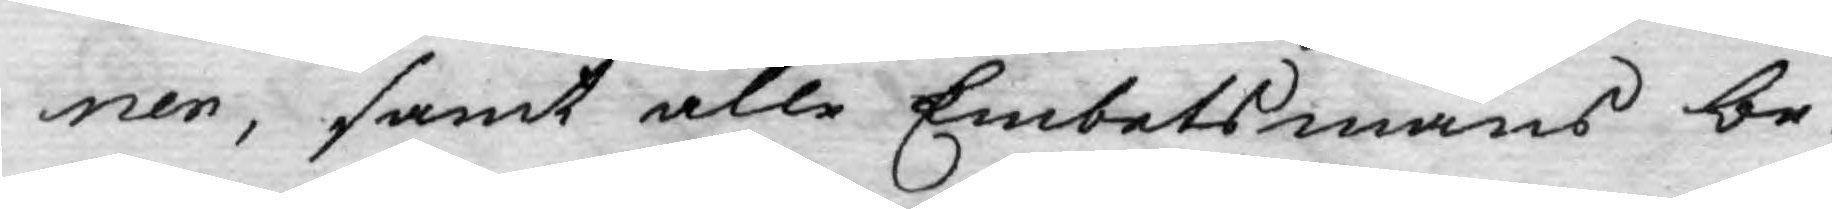ner, samt alle Embetsmäns be¬
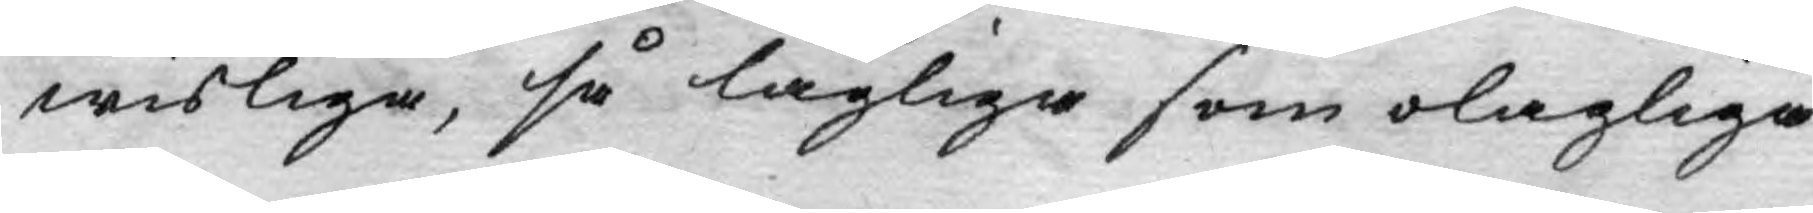wisliga, så lagliga som olagliga
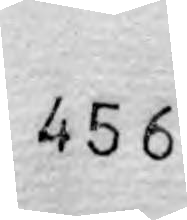456
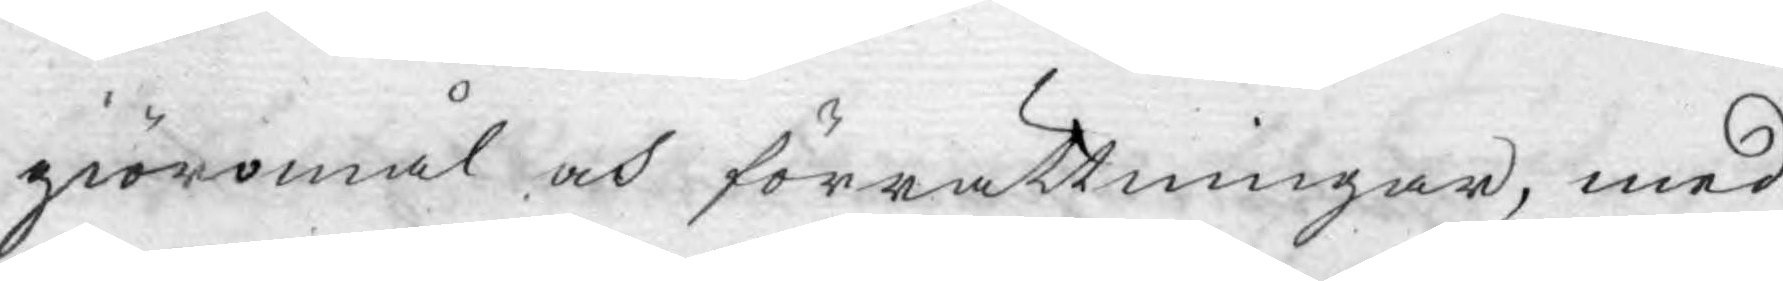giöromål och förrättningar, med
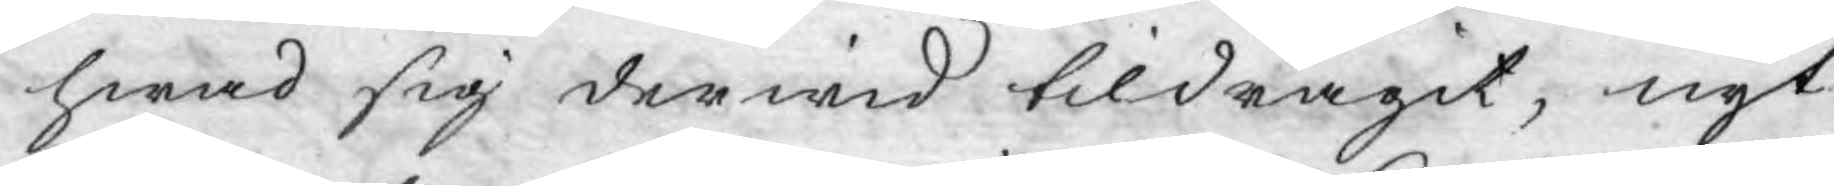hwad sig derwid tildragit, nyt¬
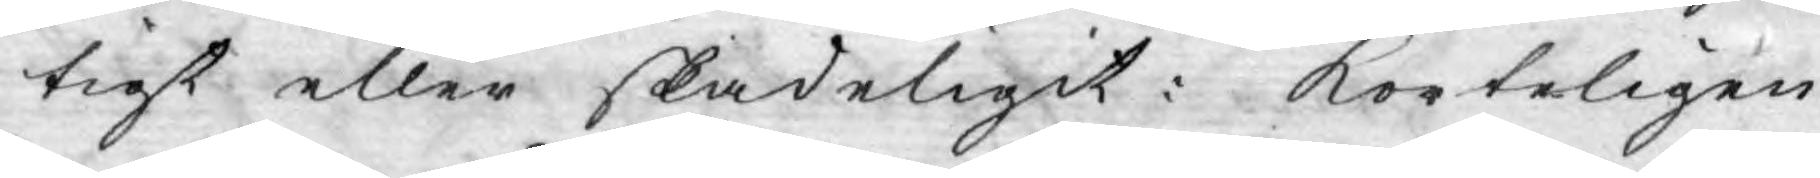tigt eller skadeligit: korteligen
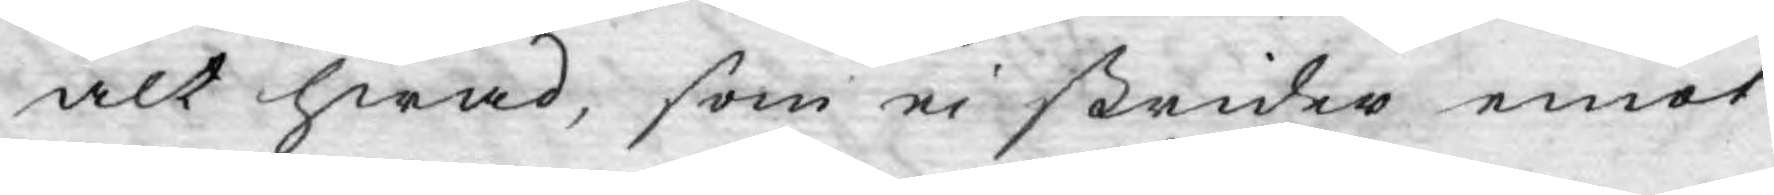alt hwad, som ej strider emot
